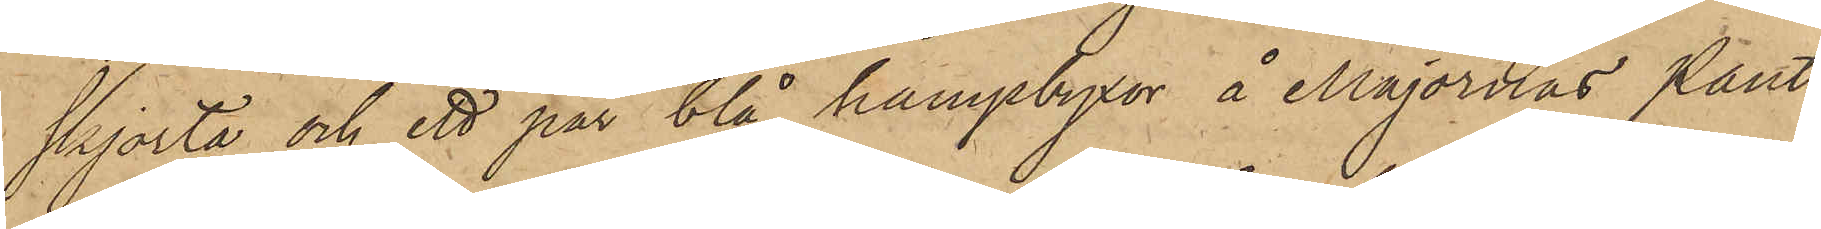skjorta och ett par blå hampbyxor å Majornas Pant¬
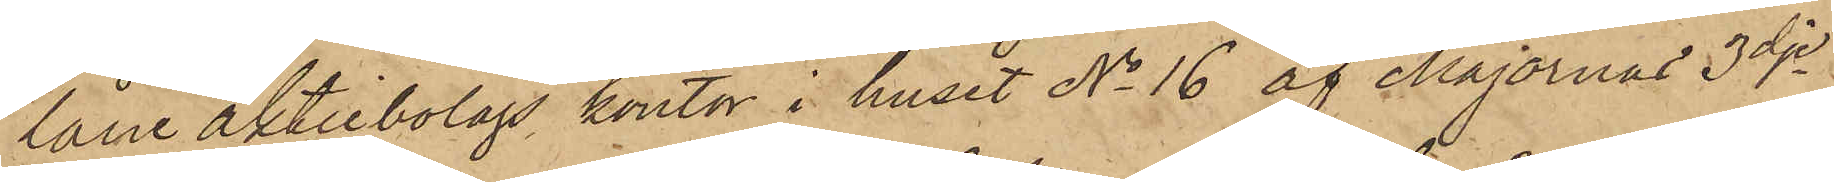låne aktiebolags kontor i huset No 16 af Majornas 3dje
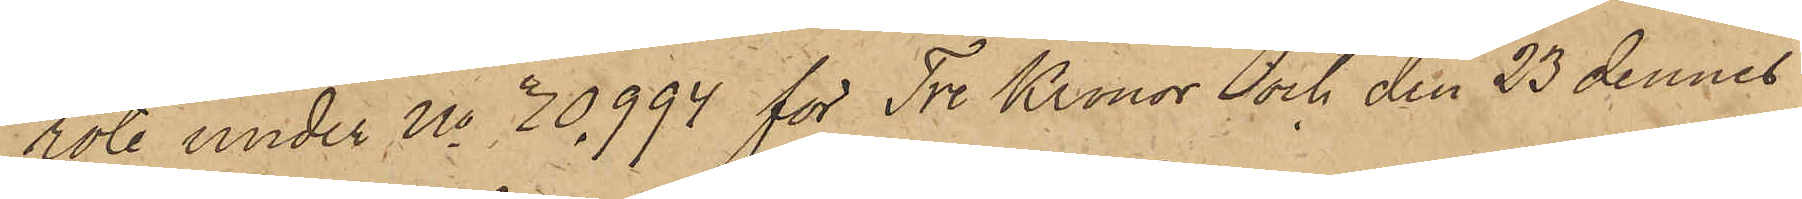rote under No 30,994 för Tre Kronor och den 23 dennes
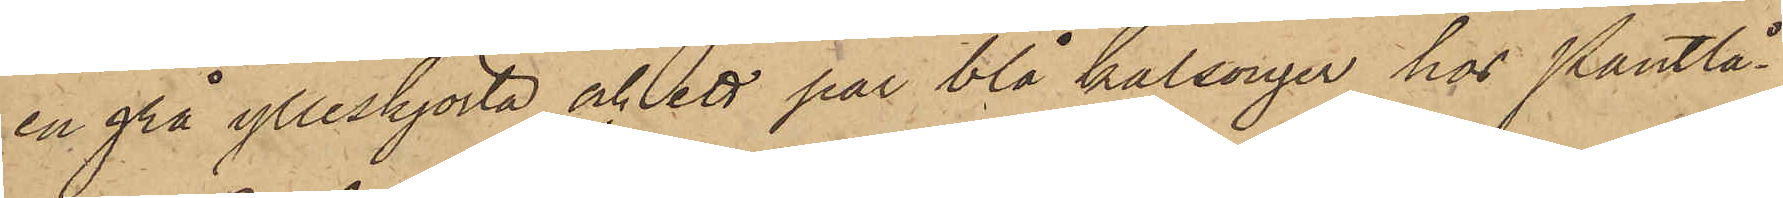en grå ylleskjorta och ett par blå kalsonger hos Pantlå¬
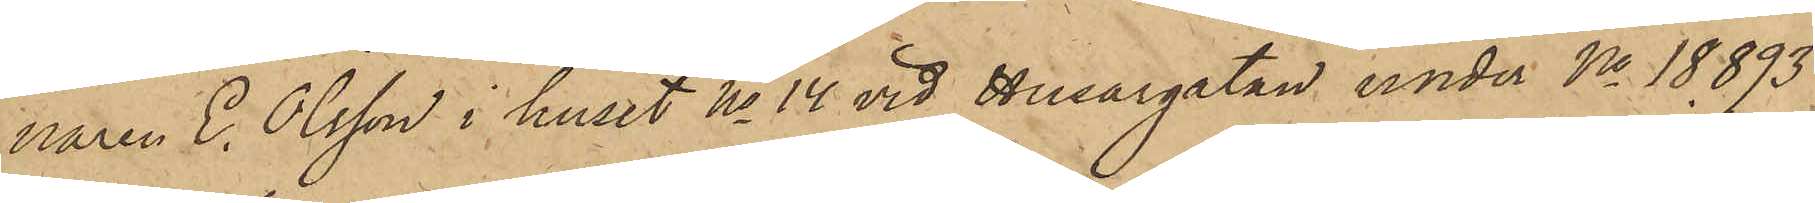naren E. Olsson i huset No 14 vid Husargatan under No 18.893
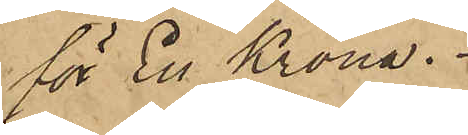för En Krona.
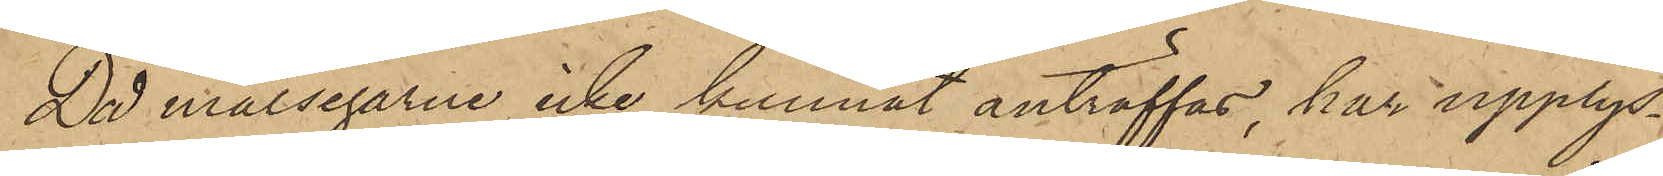Då målsegarne icke kunnat anträffas, har upplys¬
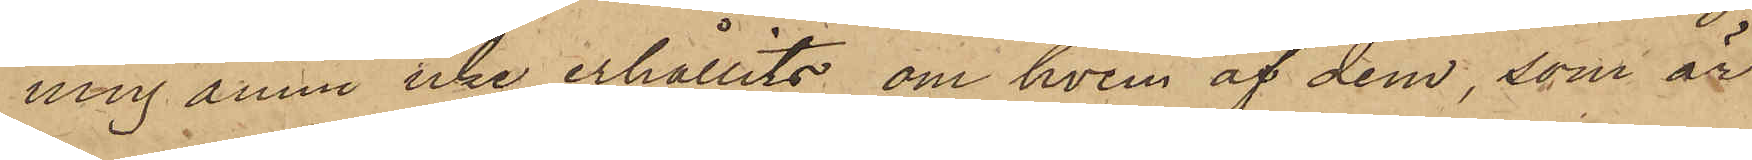ning ännu icke erhållits om hvem af dem, som är
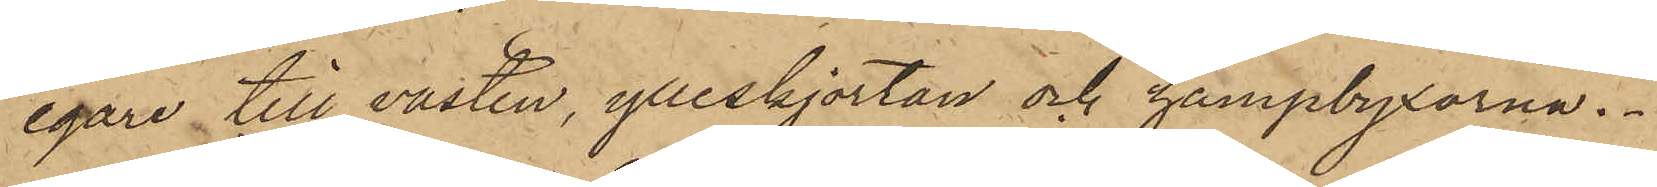egare till västen, ylleskjortan och hampbyxorna.
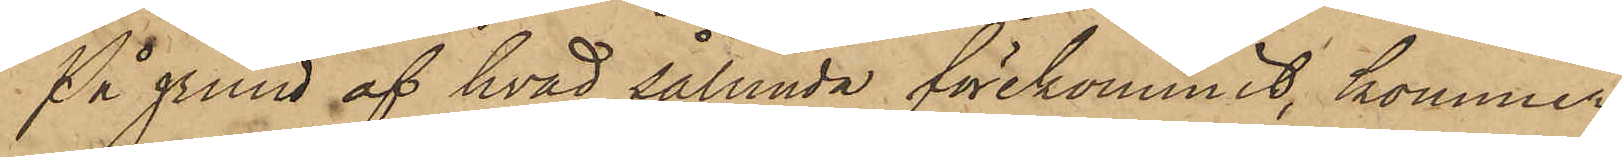På grund af hvad sålunda förekommit, kommer
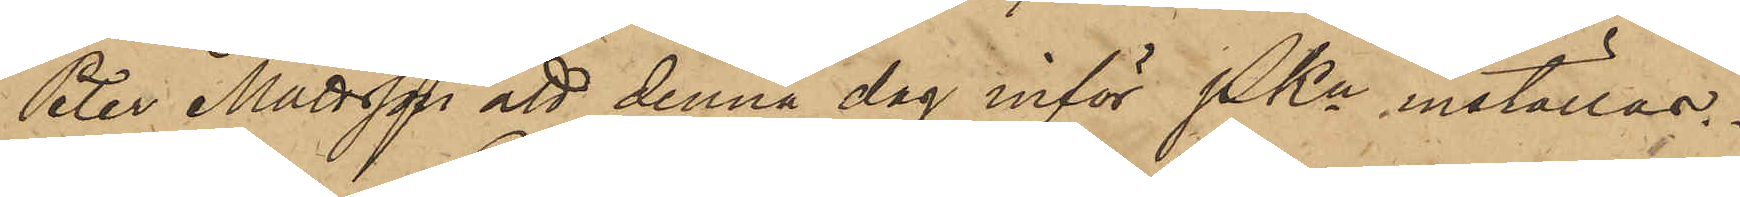Peter Mattsson att denna dag inför PKn inställas.
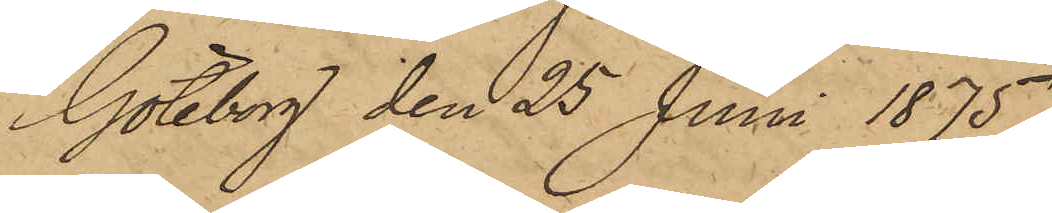Göteborg den 25 Juni 1875.
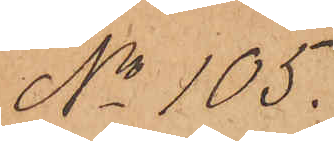No 105.
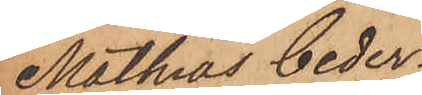Mathias Ceder¬
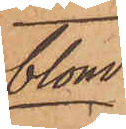blom.
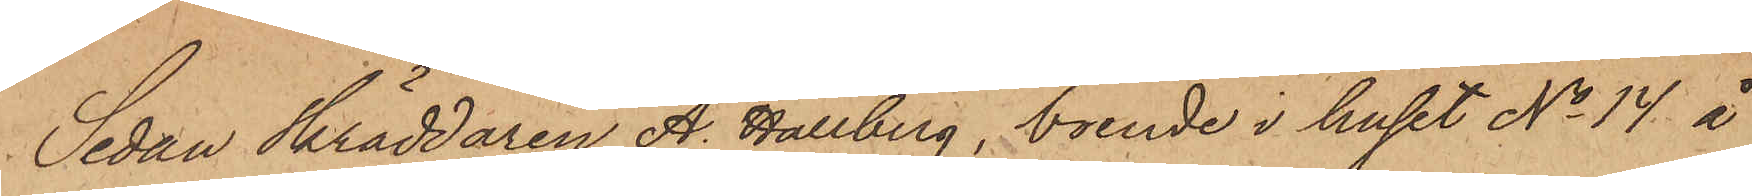Sedan Skräddaren A. Hallberg, boende i huset No 14 å
